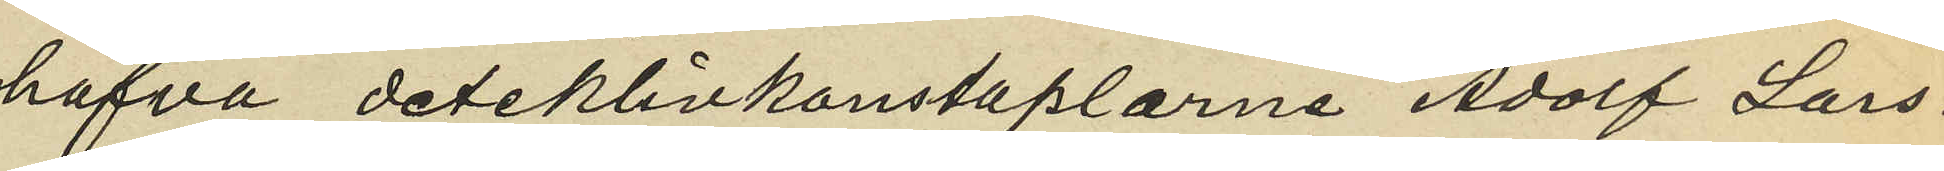hafva detektivkonstaplarne Adolf Lars¬
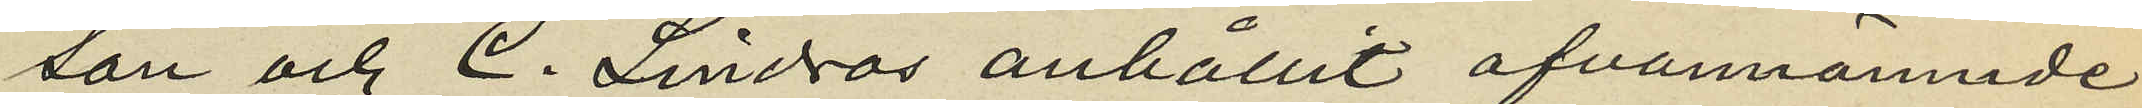son och C. Lindros anhållit ofvannämnde
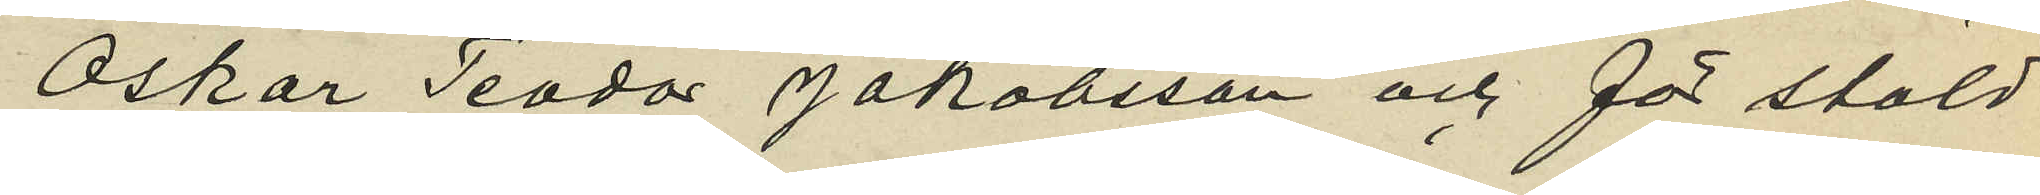Oskar Teodor Jakobsson och för stöld
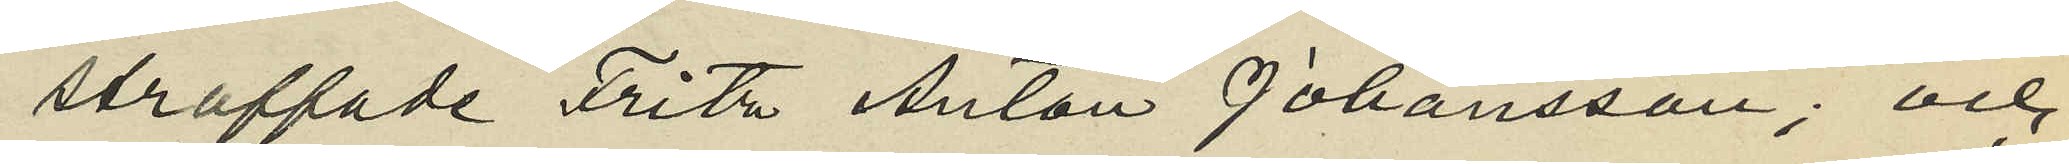straffade Fritz Anton Johansson; och
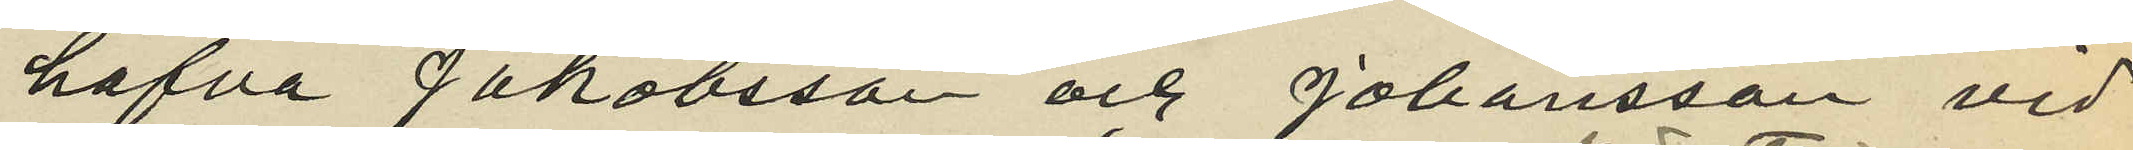hafva Jakobsson och Johansson vid
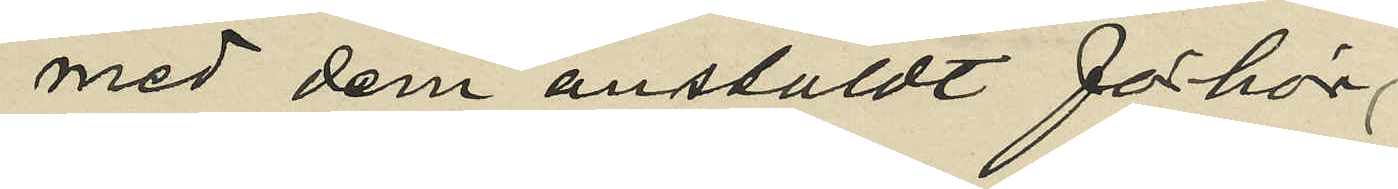med dem anstäldt förhör,
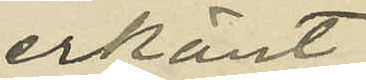erkänt.
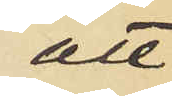att
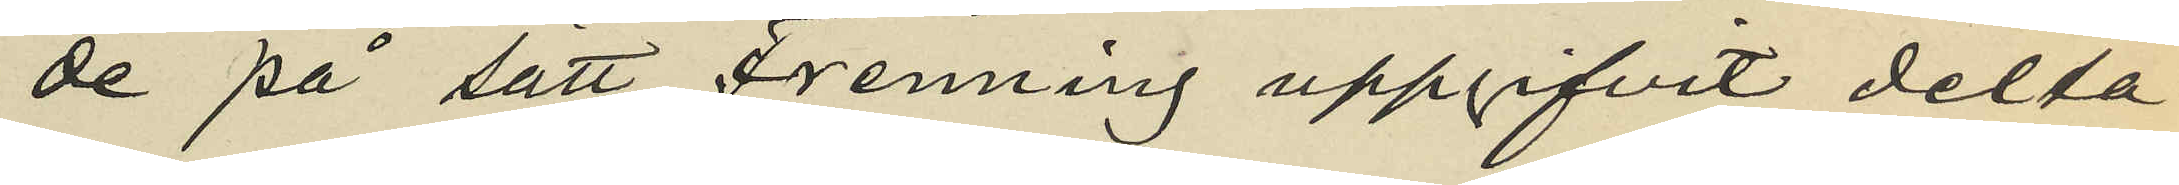de på sätt Fenning uppgifvit delta¬
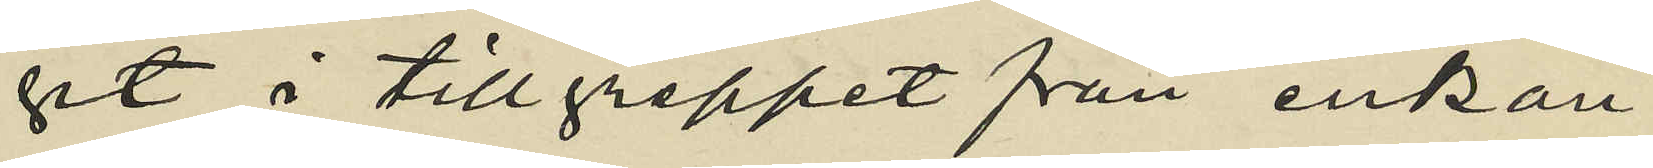git i tillgreppet från enkan
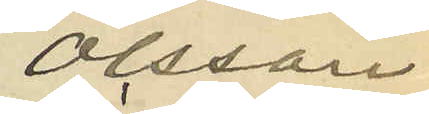Olsson
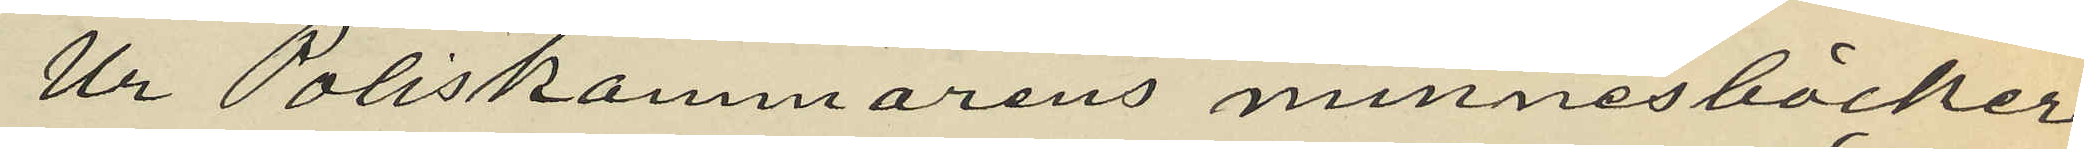Ur Poliskammarens minnesböcker
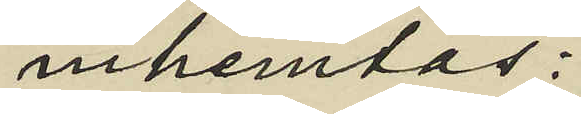inhemtas:
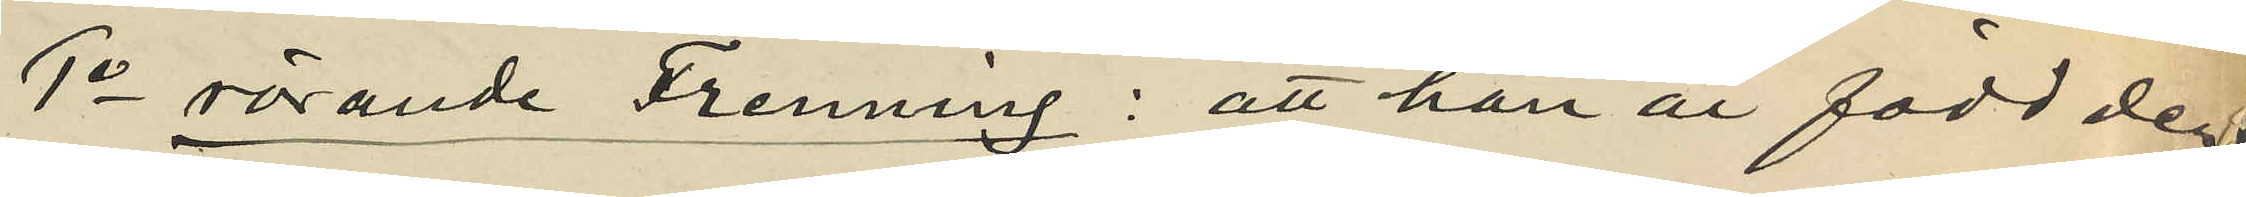1o rörande Frenning: att han är född den
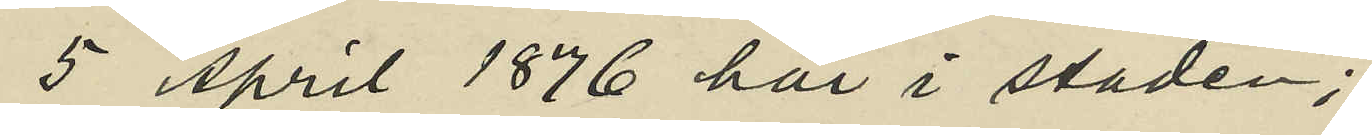5 April 1876 här i staden;
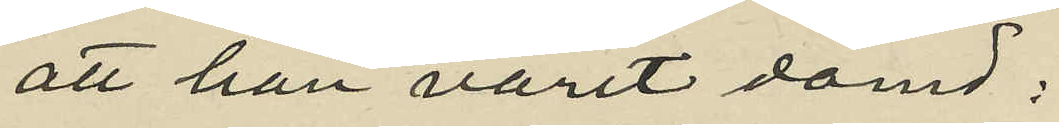att han varit dömd:
